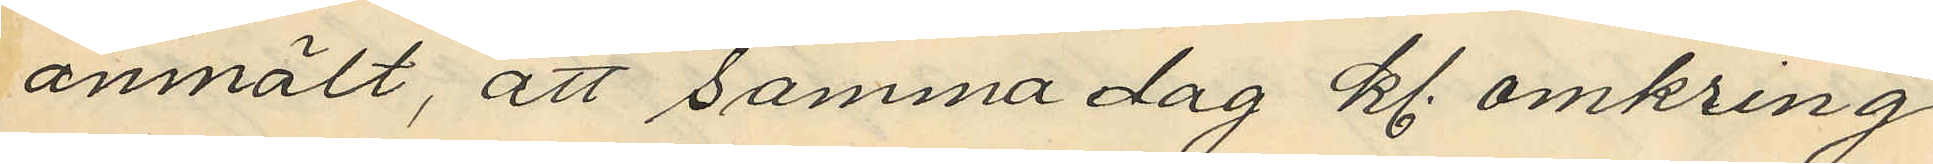anmält, att samma dag kl. omkring
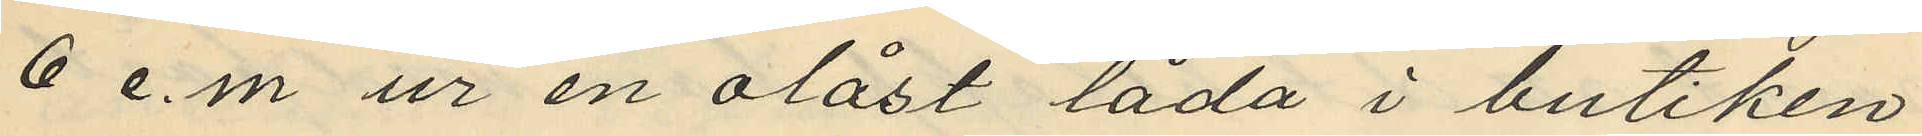6 e.m. ur en olåst låda i butiken
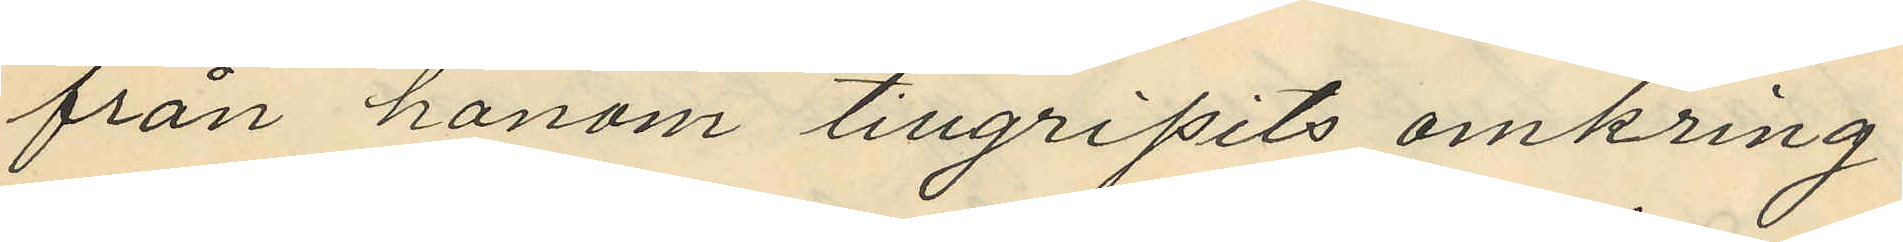från honom tillgripits omkring
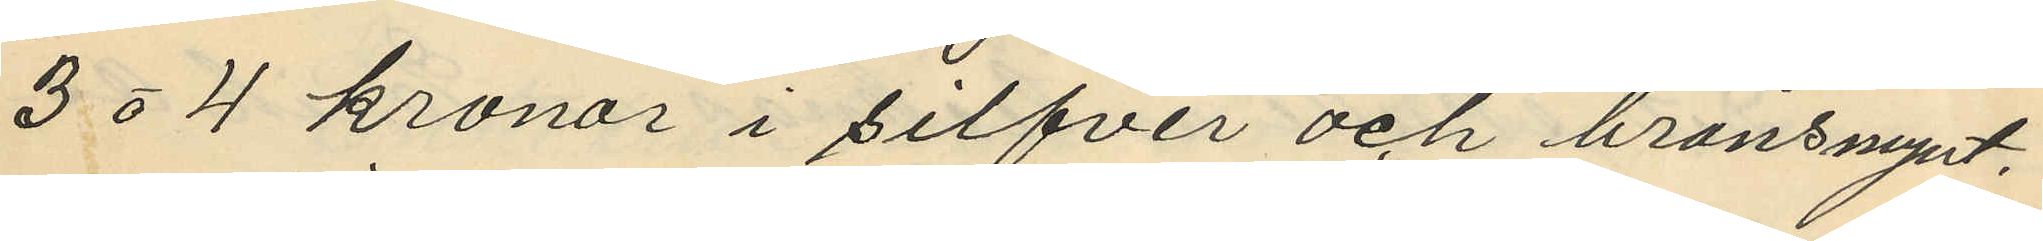3 eller 4 kronor i silfver och bronsmynt.
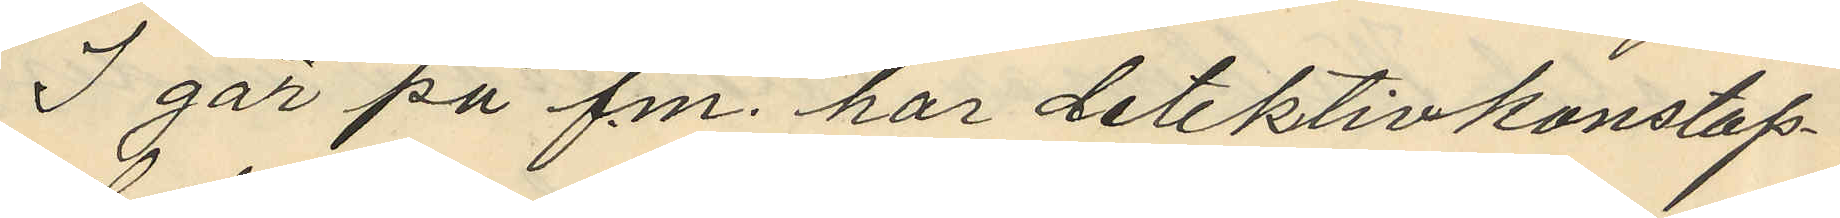I går på f.m. har detektivkonstap¬
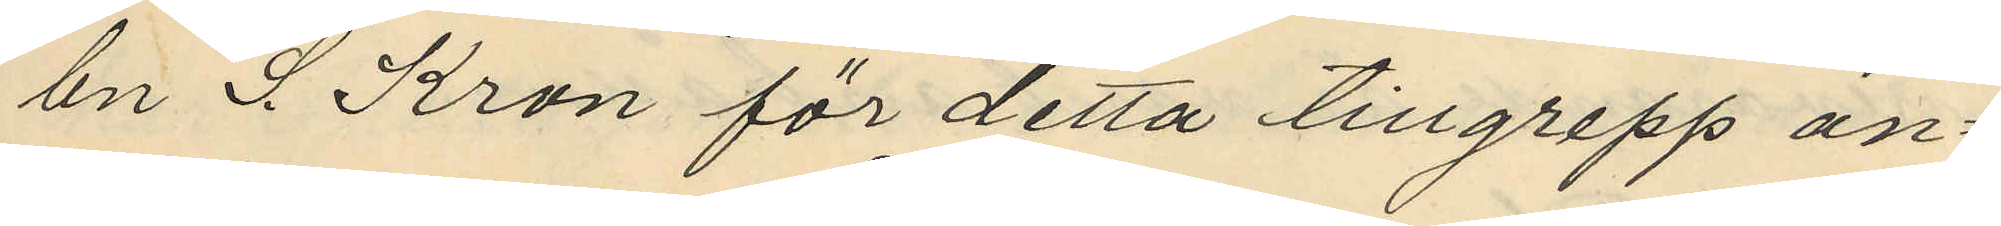eln S. Kron för detta tillgrepp an¬
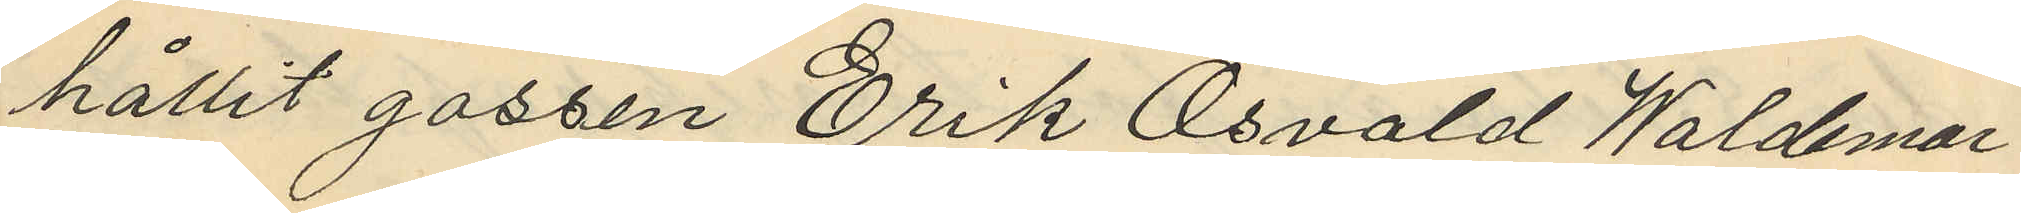hållit gossen Erik Osvald Waldemar
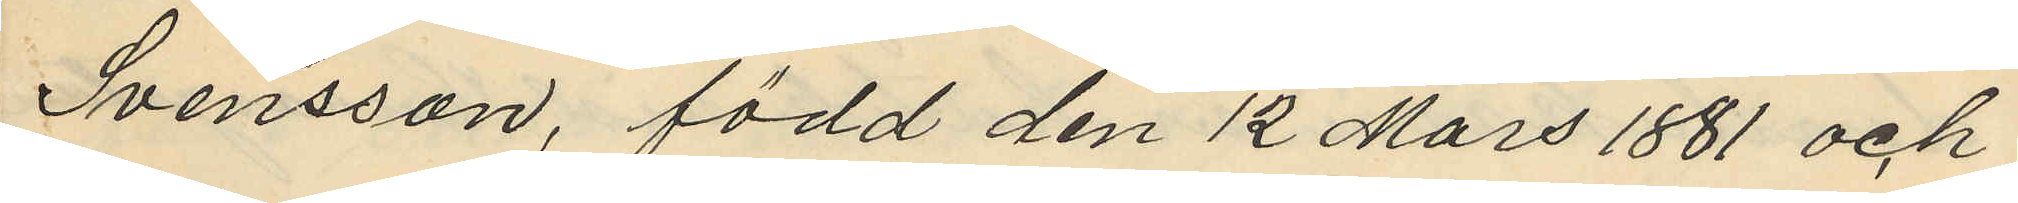Svensson, född den 12 Mars 1881 och
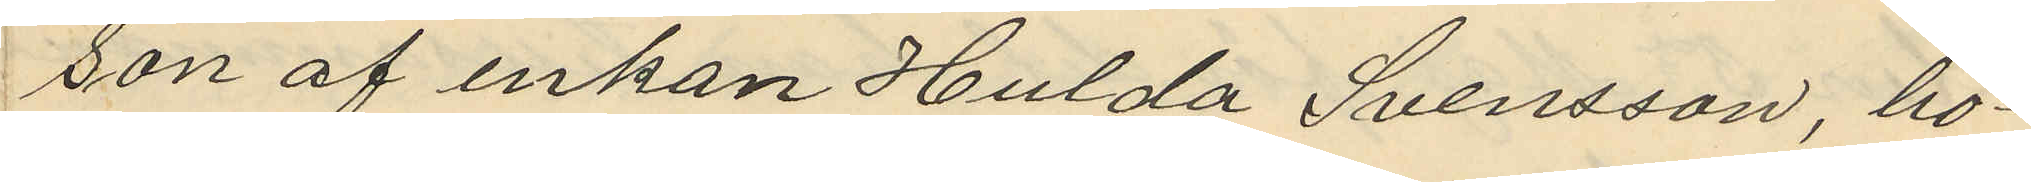son af enkan Hulda Svensson, bo¬
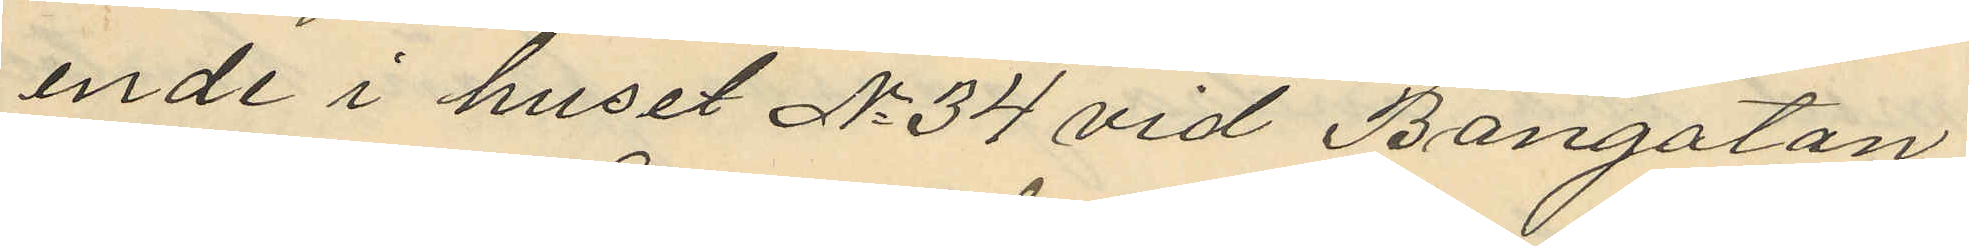ende i huset No 34 vid Bangatan
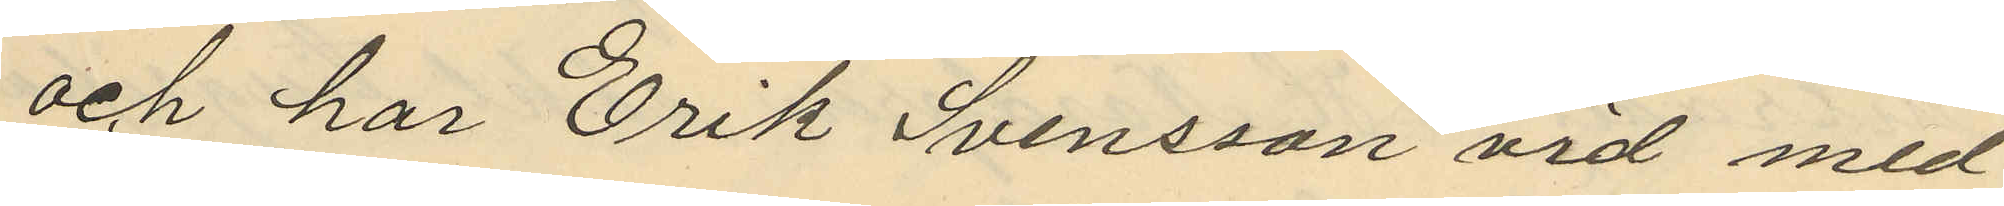och har Erik Svensson vid med
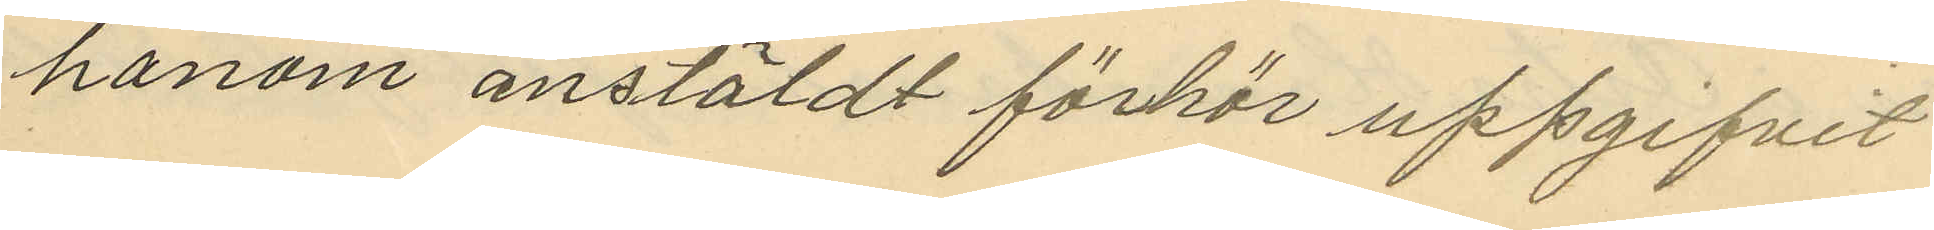honom anstäldt förhör uppgifvit
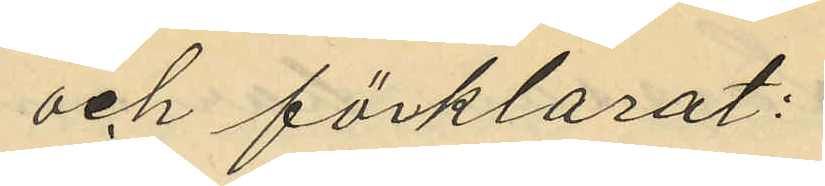och förklarat:
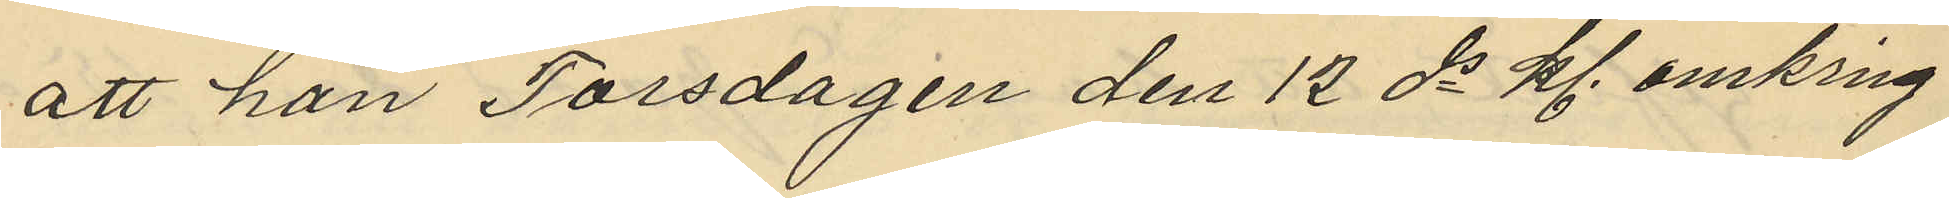att han Torsdagen den 12 ds kl. omkring
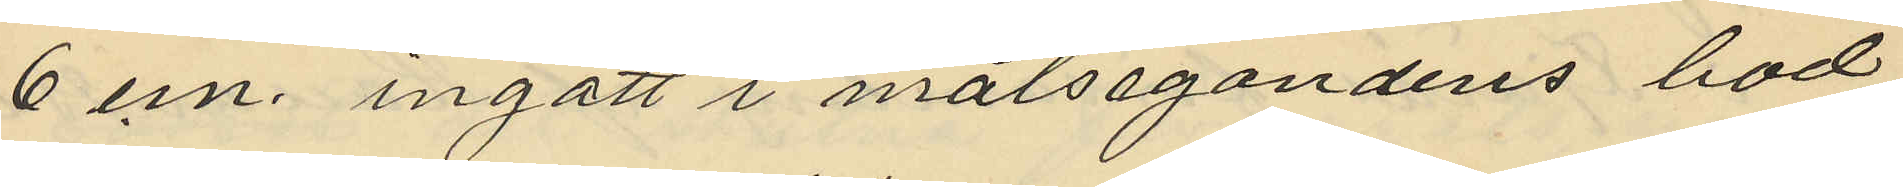6 em. ingått i målsegandens bod
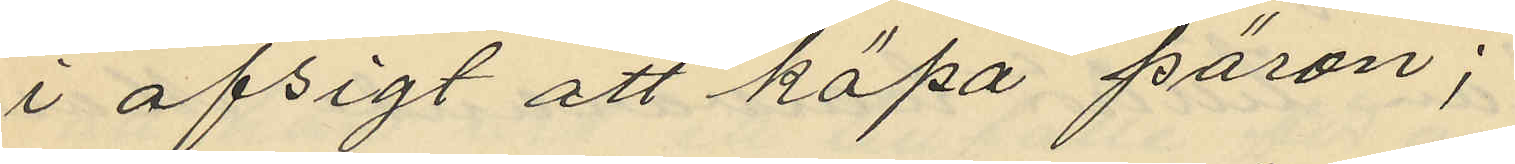i afsigt att köpa päron;
